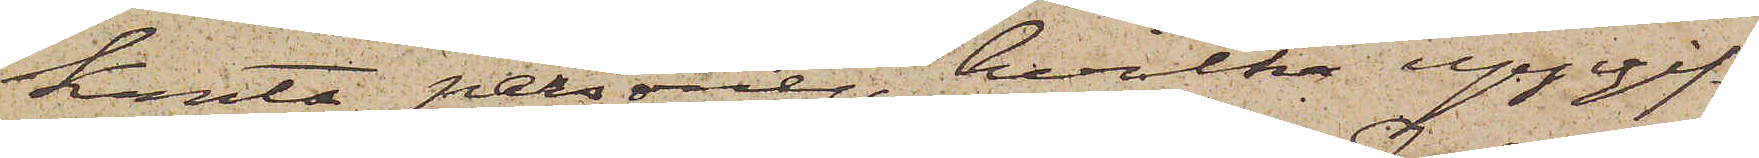kanta personer, hvilka uppgif¬
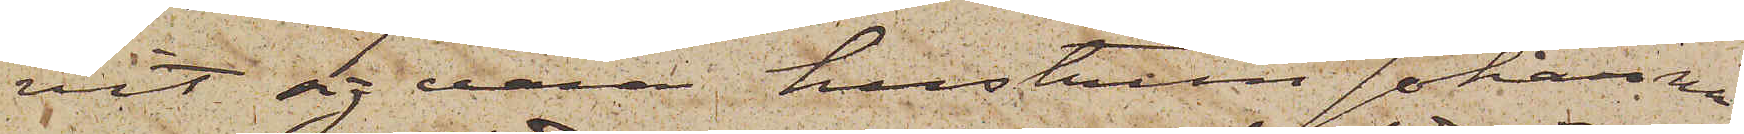vit sig vara hustrun Johanna
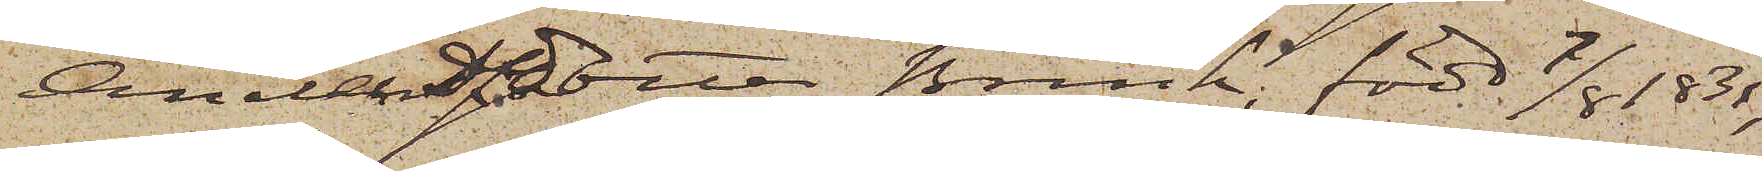Andersdotter Brink, född 7/8 1831,
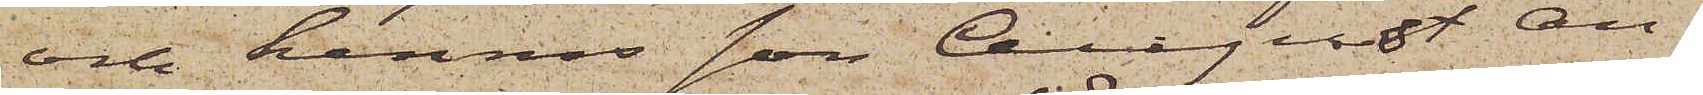och hennes son August An¬
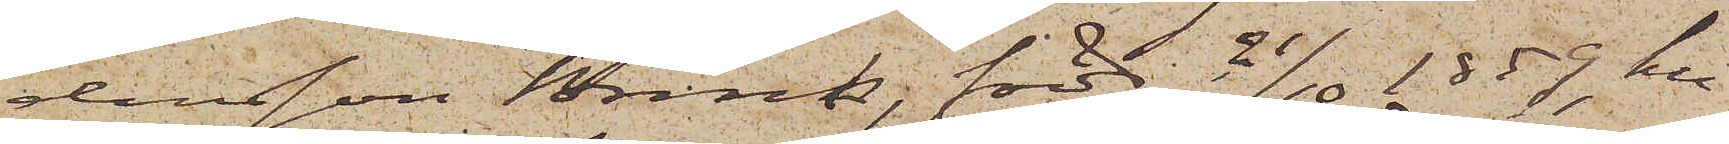dersson Brink född 21/10 1859, hus¬
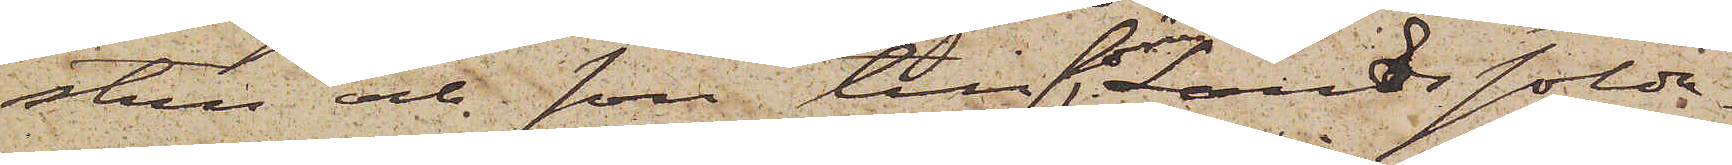stru och son till förre Landssolda¬
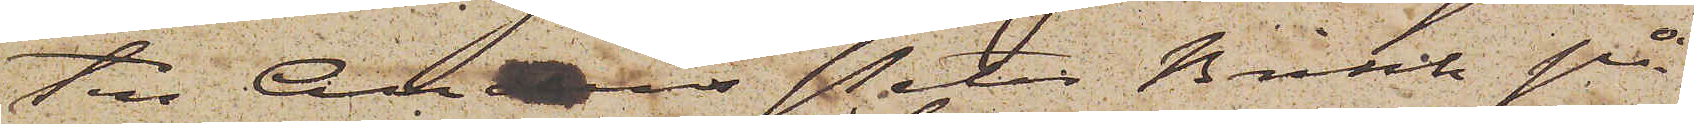ten Anders Peter Brink på
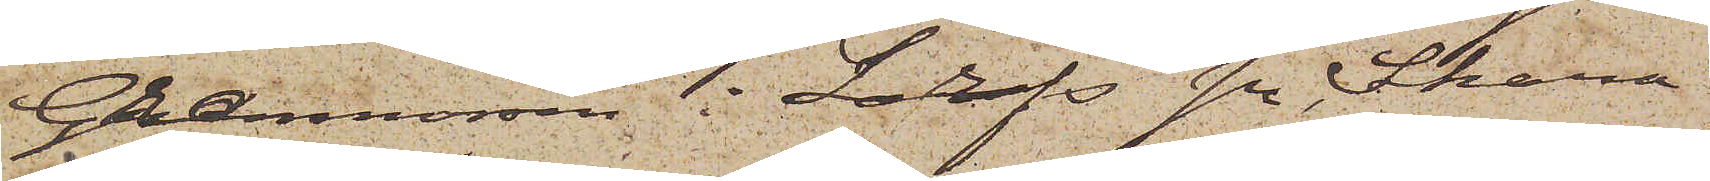Granmossen i Larfs sn, Skara¬
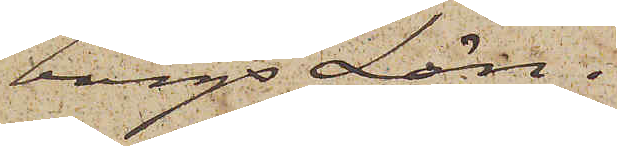borgs Län.
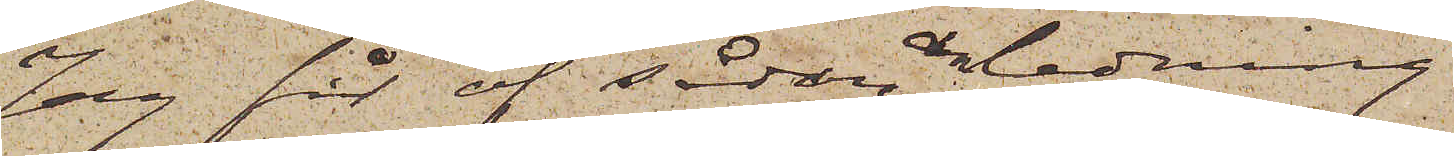Jag får af sådan anledning
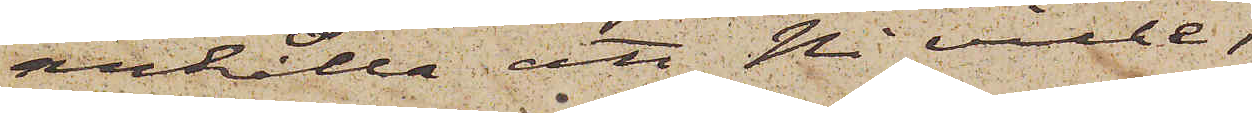anhålla att Ni ville,
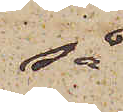så
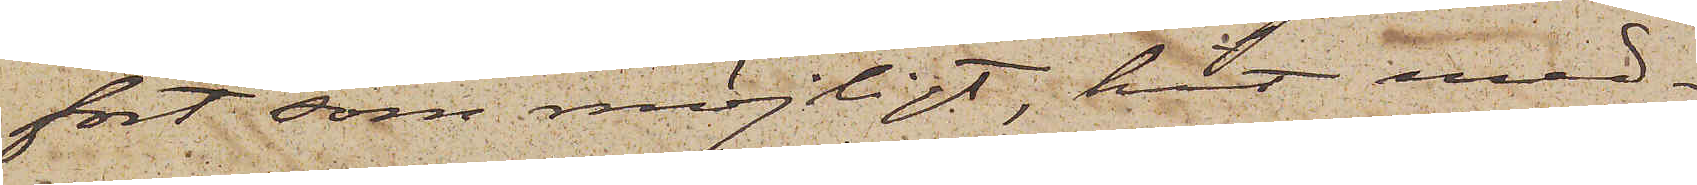fort som möjligt, hit med¬
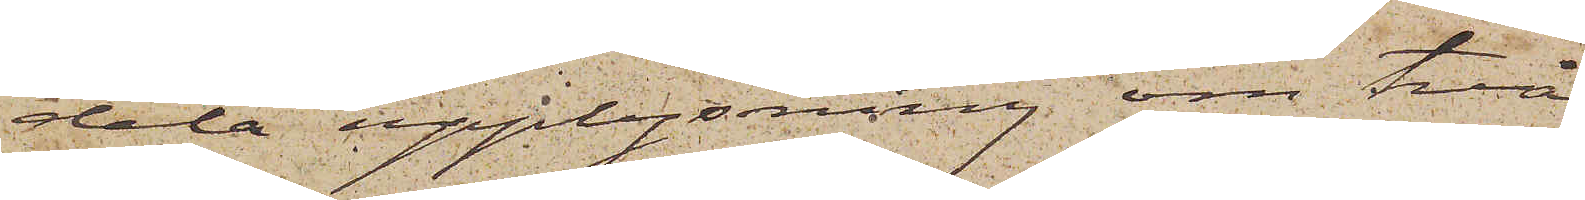dela upplysning om två
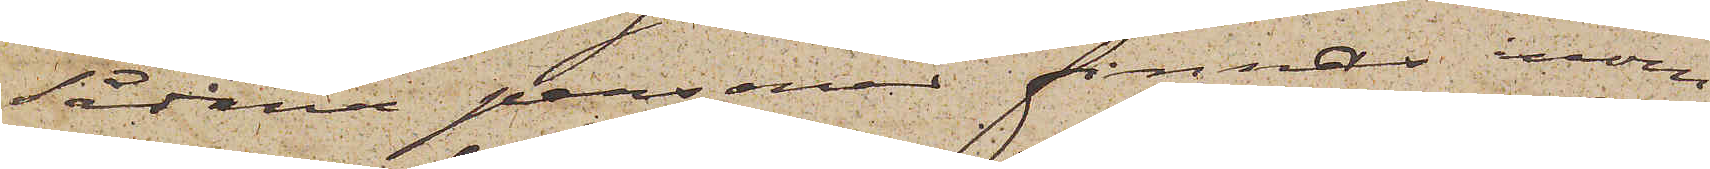sådana personer finnas inom
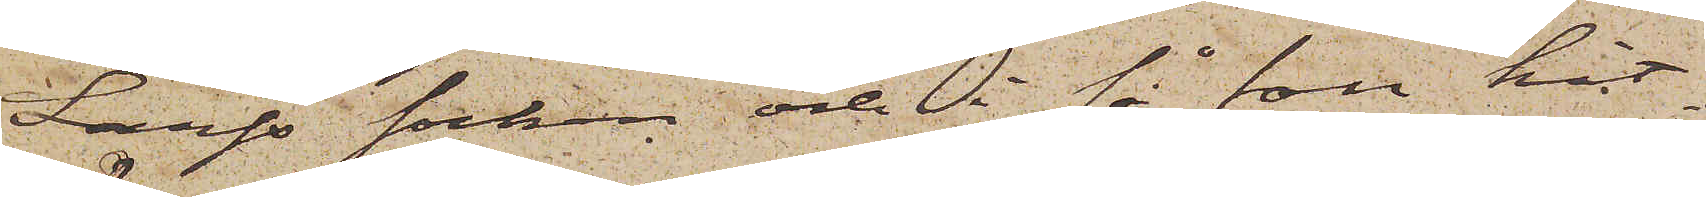Larfs socken och i så fall hit¬
